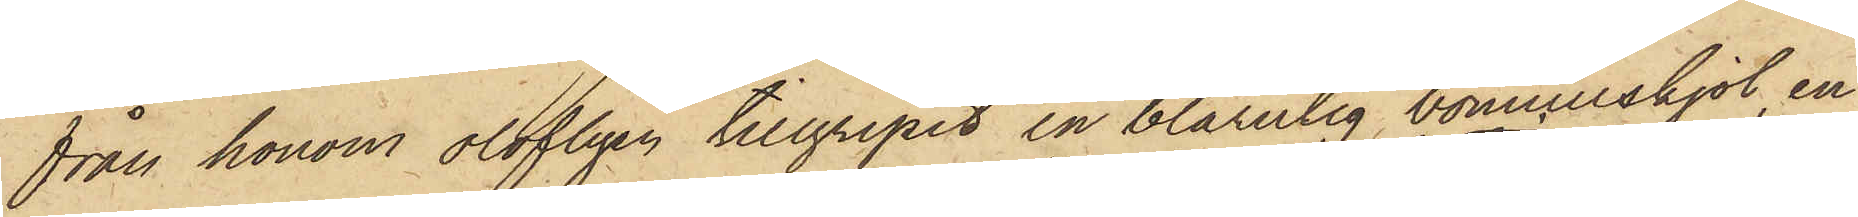från honom olofligen tillgripit en blårutig bomullskjol, en
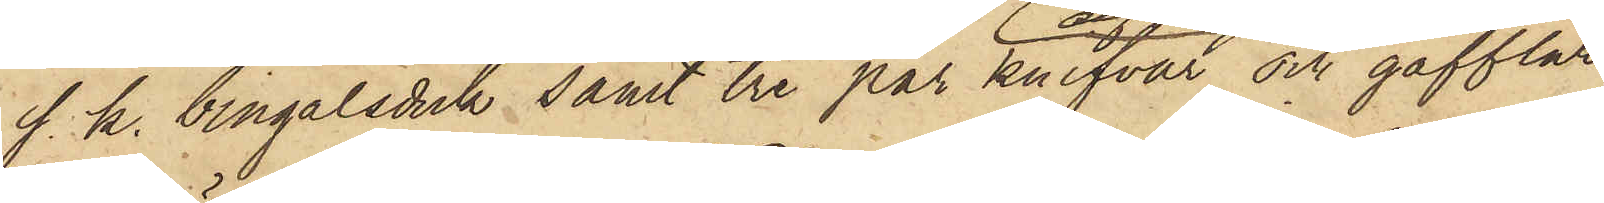s. k. bingalsduk samt tre par knifvar och gafflar
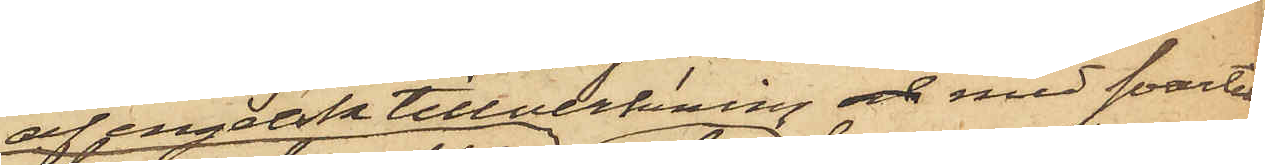af engelsk tillverkning och med svarta
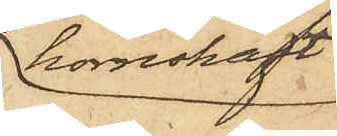hornskaft;
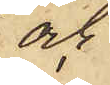och
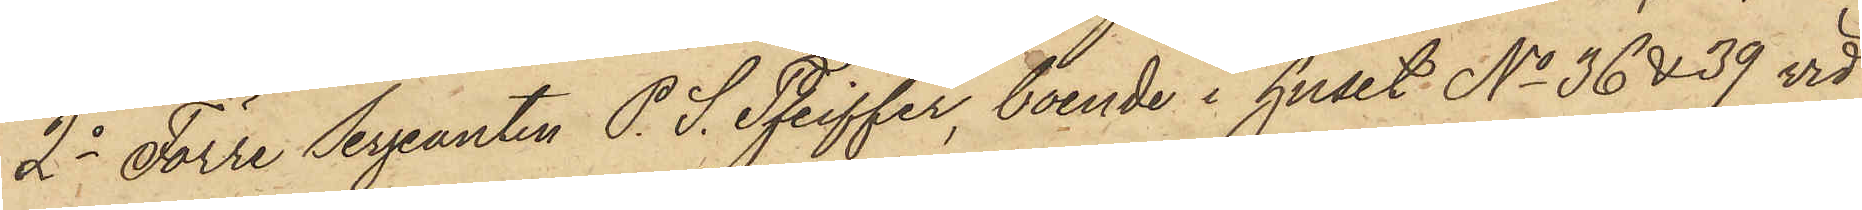2o Förre Sergeanten P. S. Pfeiffer, boende i huset No 36 & 39 vid
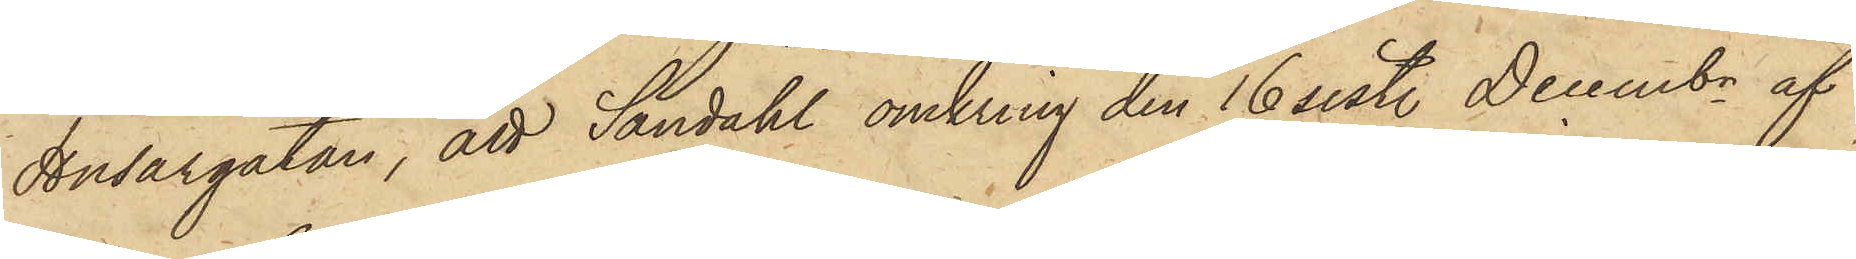Husargatan, att Sandahl omkring den 16 sist. Decembr af
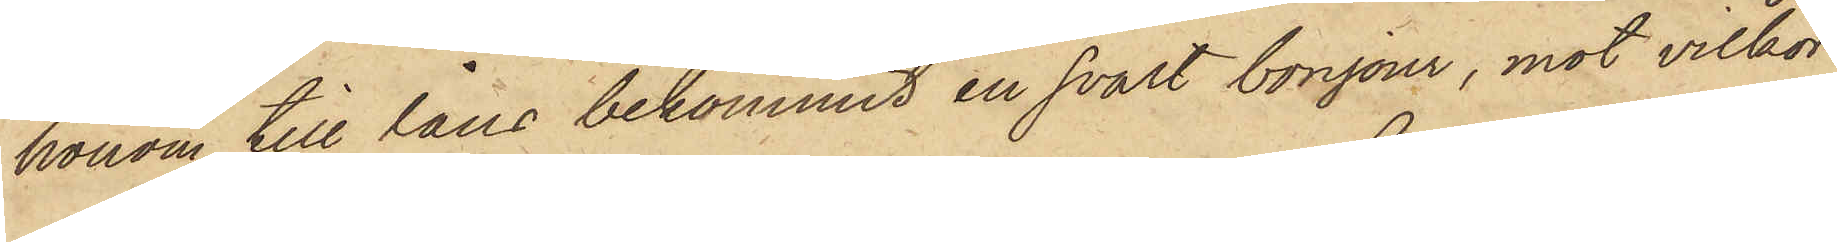honom till låns bekommit en svart bonjour, mot villkor
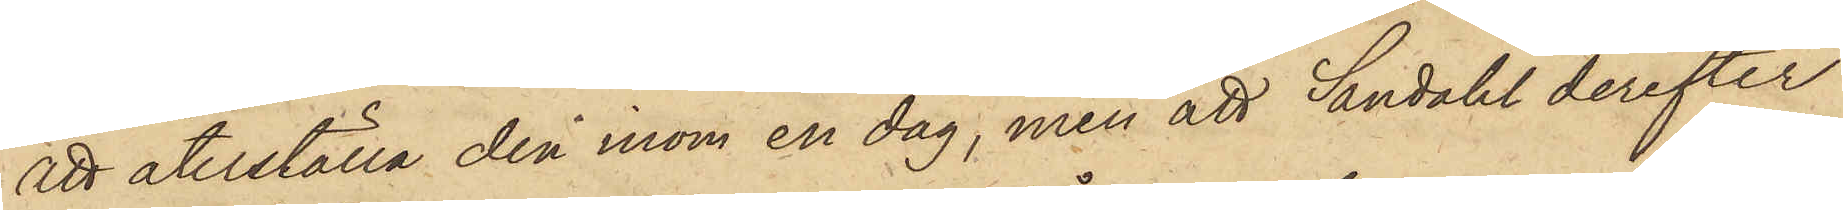att återställa den inom en dag, men att Sandahl derefter
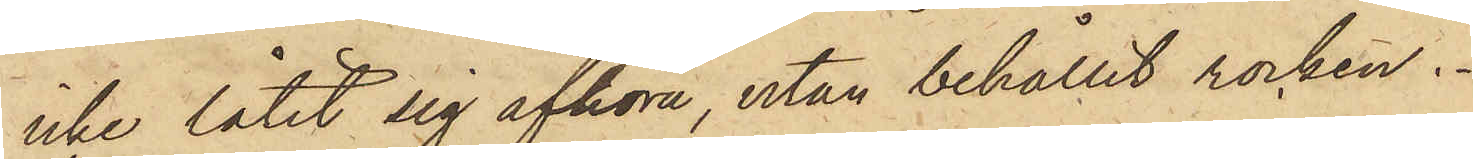icke låtit sig afhöra, utan behållit rocken.
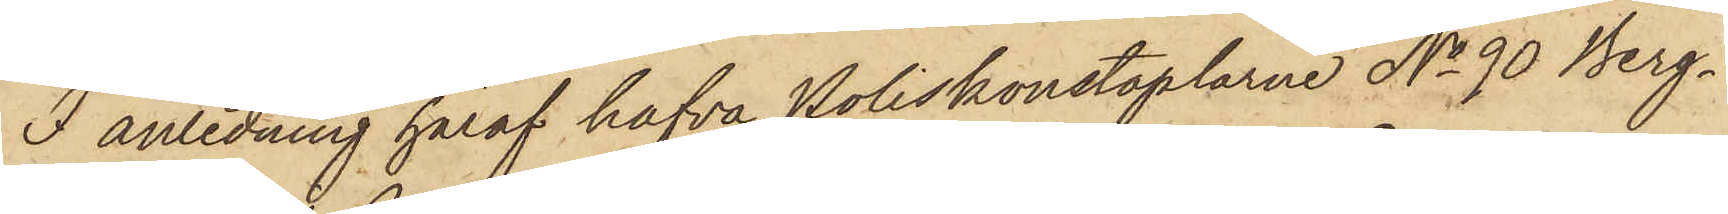I anledning häraf hafva Poliskonstaplarne No 90 Berg¬
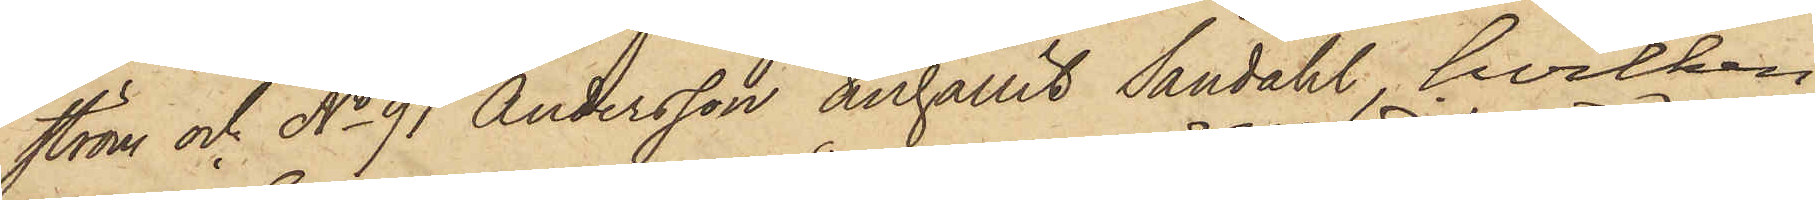ström och No 91 Andersson anhållit Sandahl, hvilken
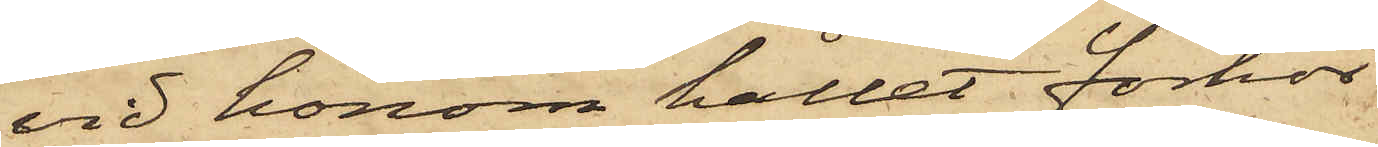vid honom hållet förhör
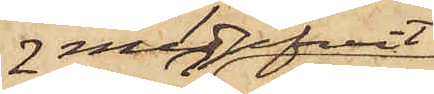medgifvit
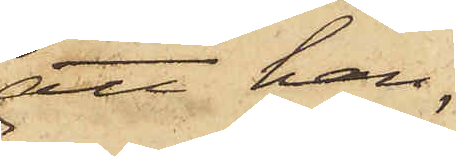att han,
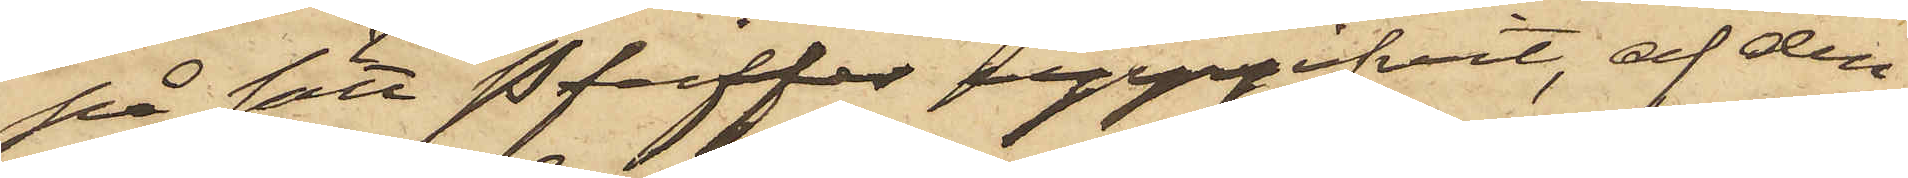på sätt Pfeiffer uppgifvit, af den¬
